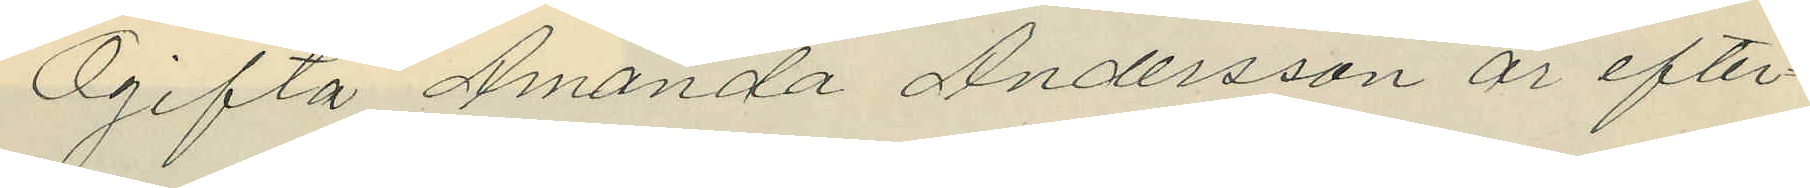Ogifta Amanda Andersson är efter¬
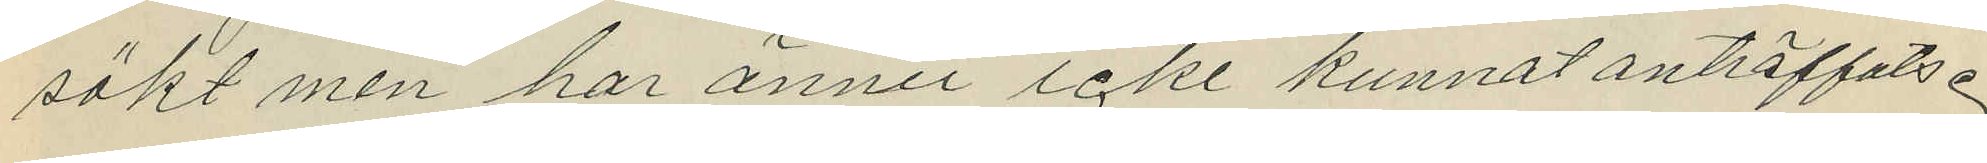sökt men har ännu icke kunnat anträffats.
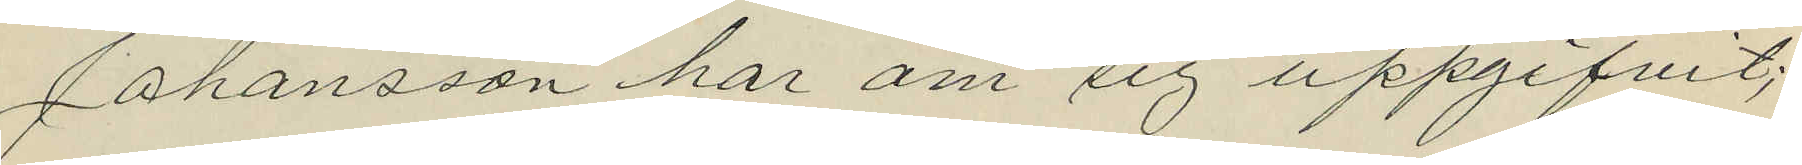Johansson har om sig uppgifvit;
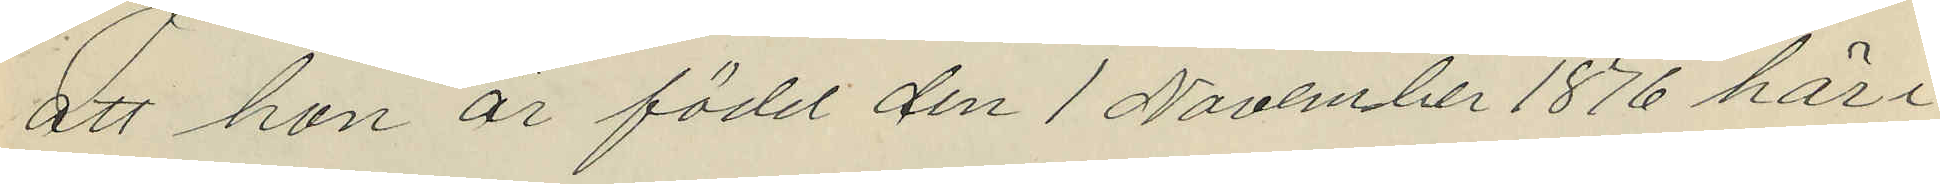att hon är född den 1 November 1876 här i
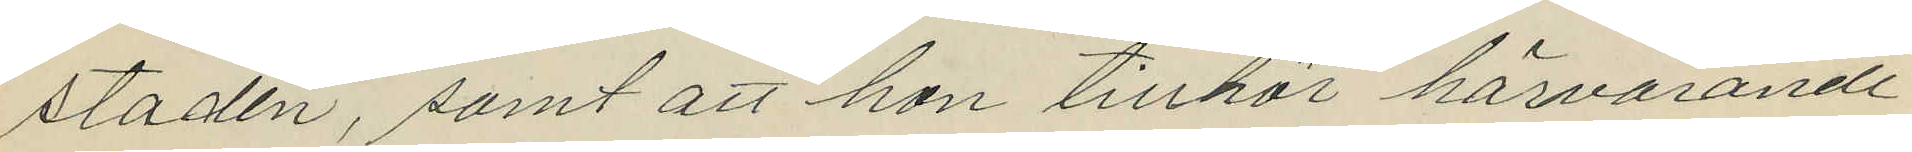staden, samt att hon tillhör härvarande
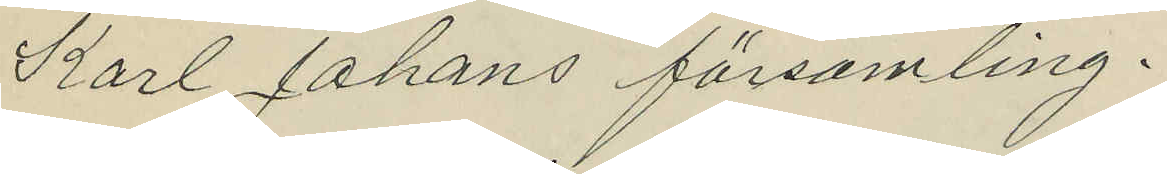Karl Johans församling.
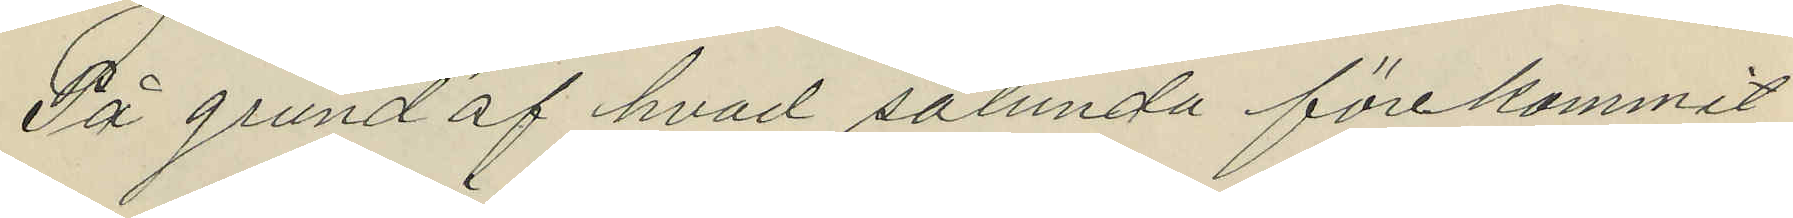På grund af hvad sålunda förekommit
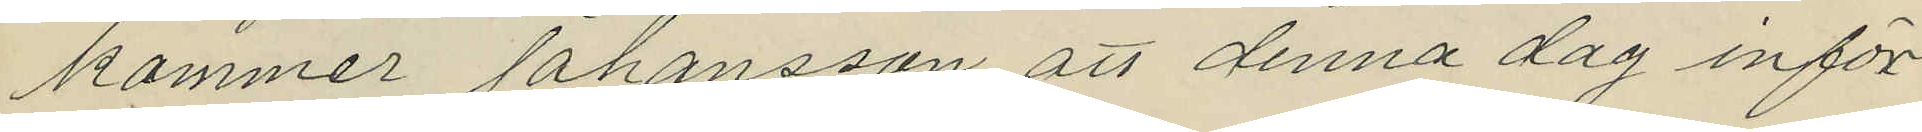kommer Johansson att denna dag inför
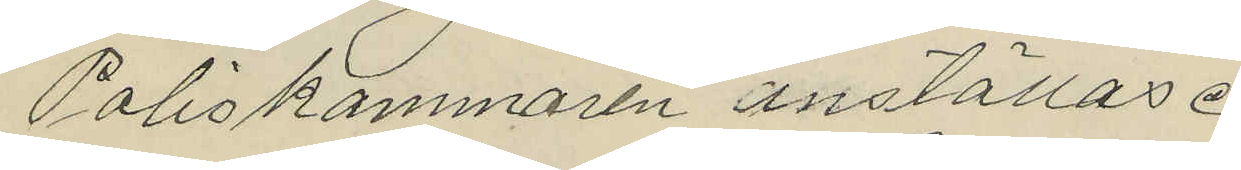Poliskammaren inställas.
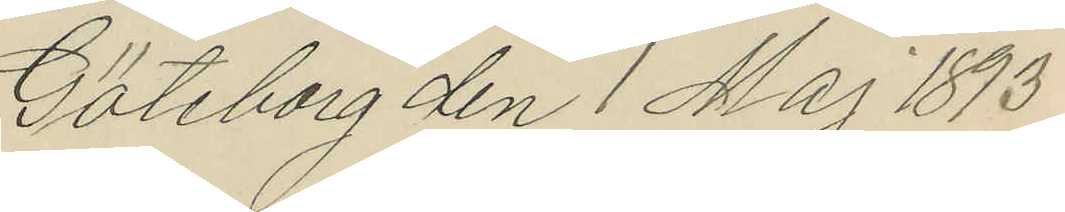Göteborg den 1 Maj 1873
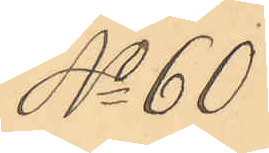No 60
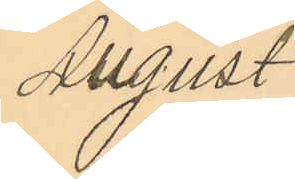August
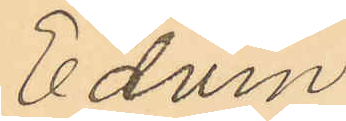Edvin
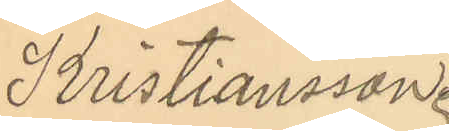Kristiansson.
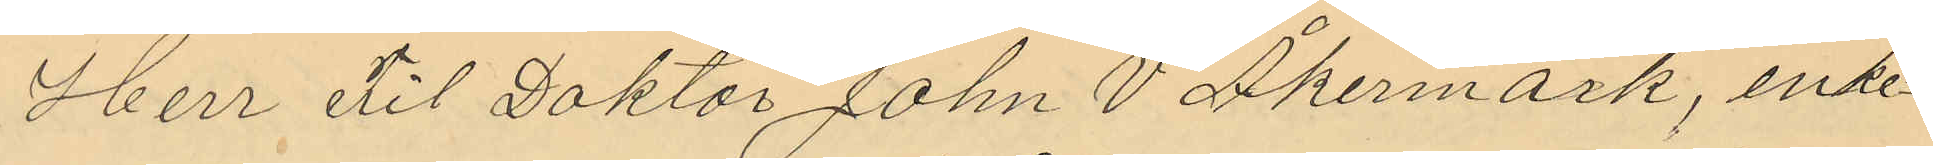Herr Fil Doktor John V Åkermark, enke¬
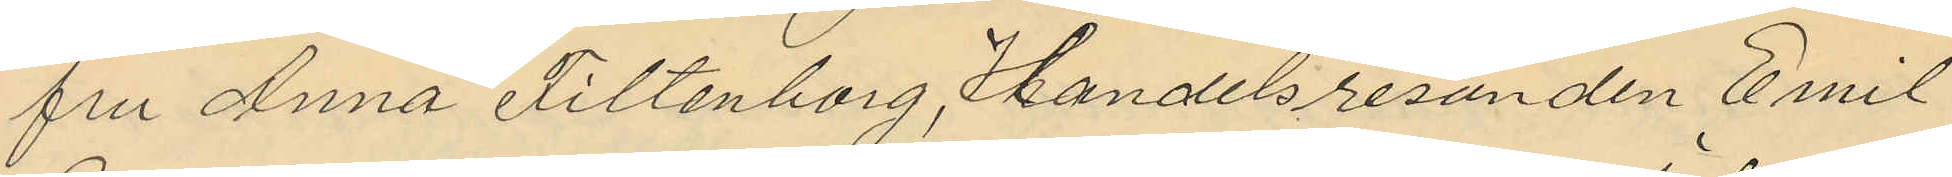fru Anna Filtenborg, Handelsresanden Emil
